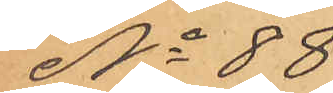No 88
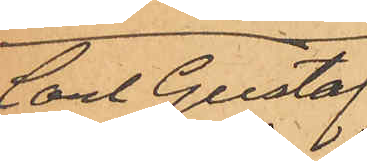Carl Gustaf
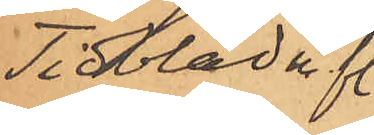Tidblad m fl.
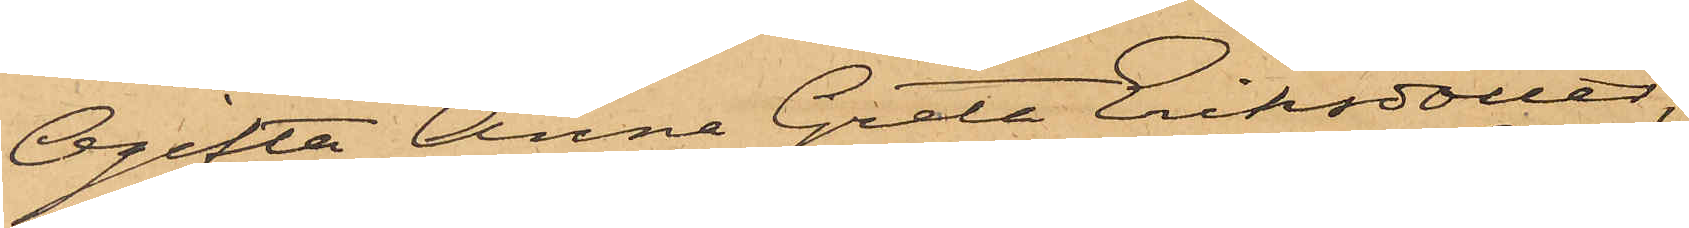Ogifta Anna Greta Eriksdotter,
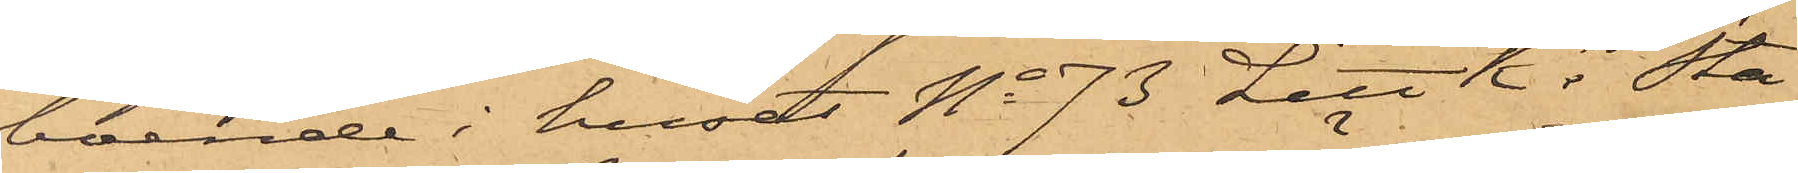boende i huset No 73 Litt K i Sta¬
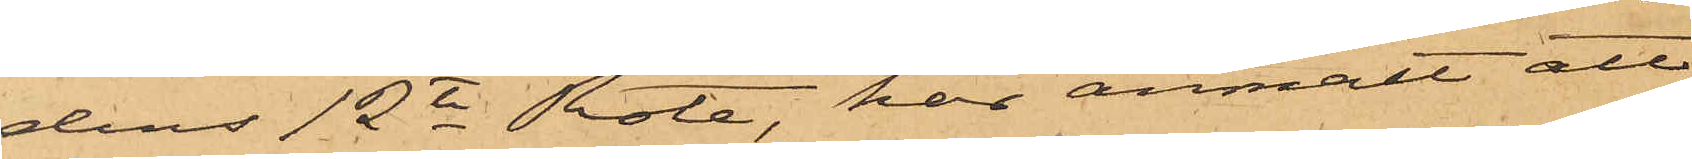dens 12te Rote, har anmält att
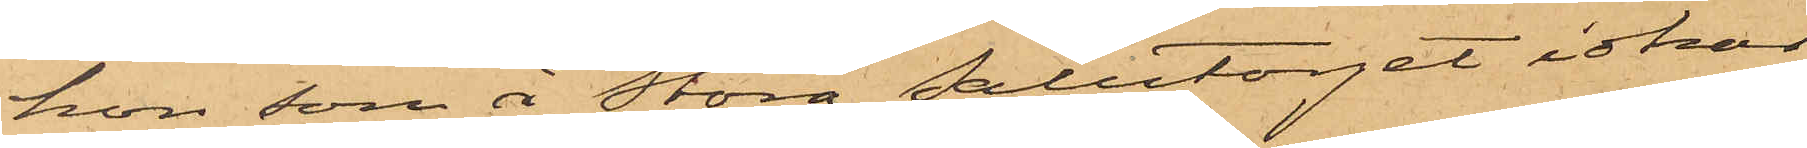hon som å Stora Salutorget idkar
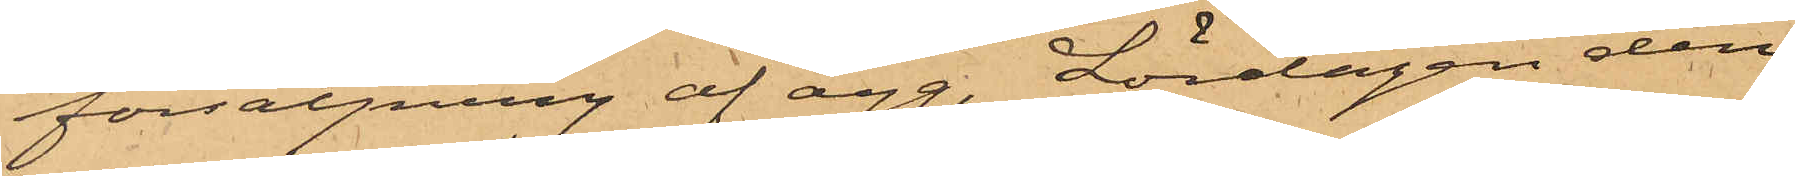försäljning af ägg, Lördagen den
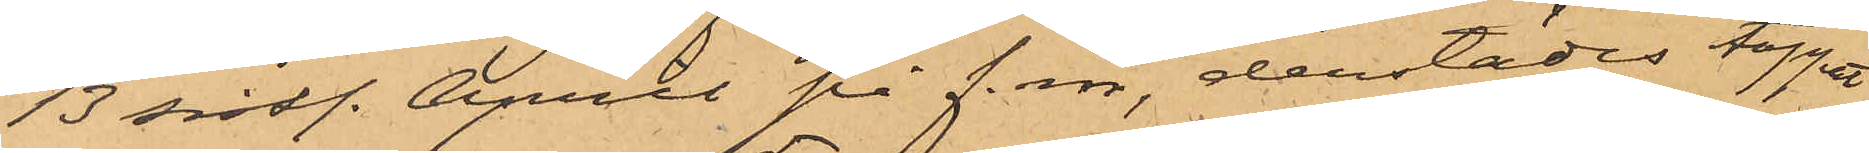13 sistl. April på f.m., derstädes tappat
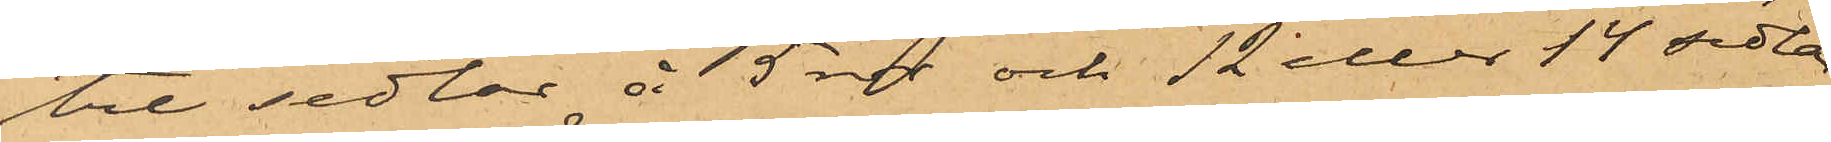tre sedlar å 5 rdr och 12 eller 14 sedlar
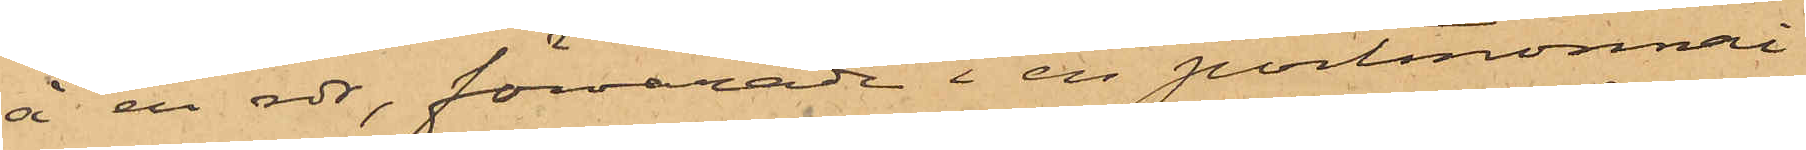å en rdr, förvarade i en portmonnai
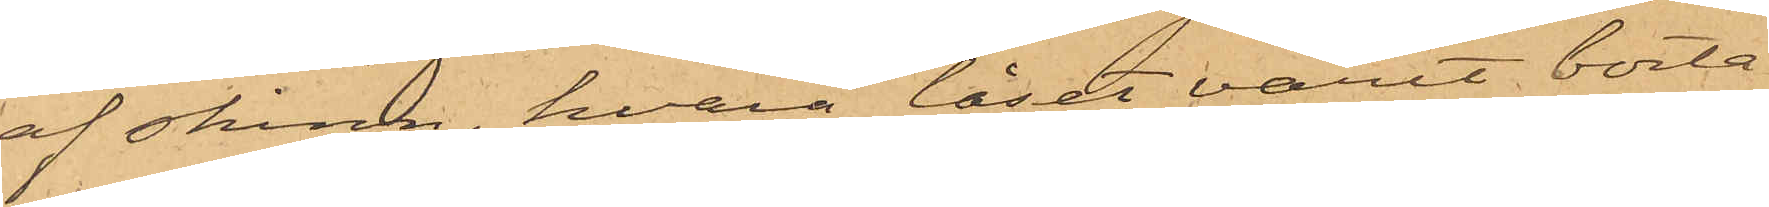af skinn, hvarå låset varit borta
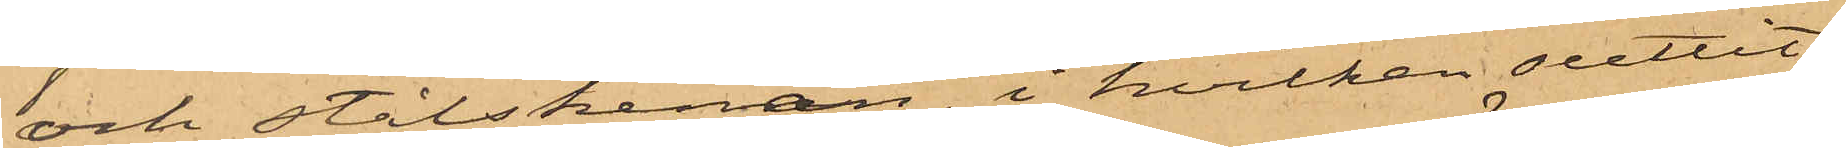och stålskenan, i hvilken suttit
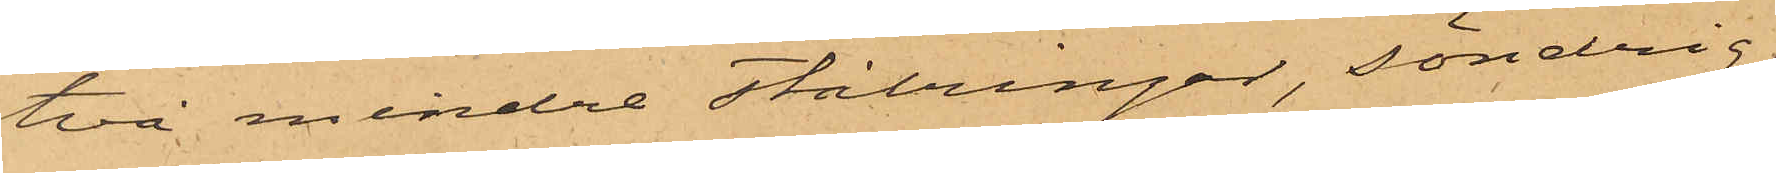två mindre stålringar, söndrig.
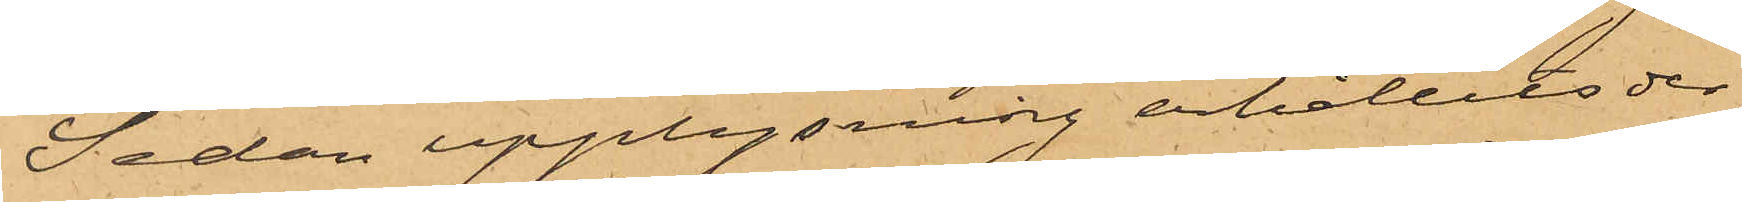Sedan upplysning erhållits der¬
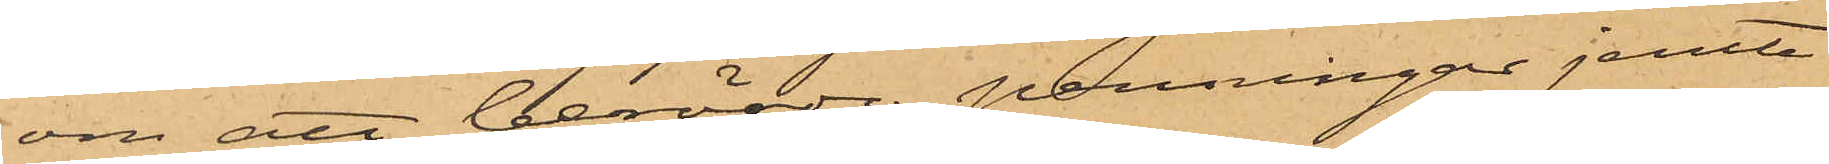om att berörde penningar jemte
